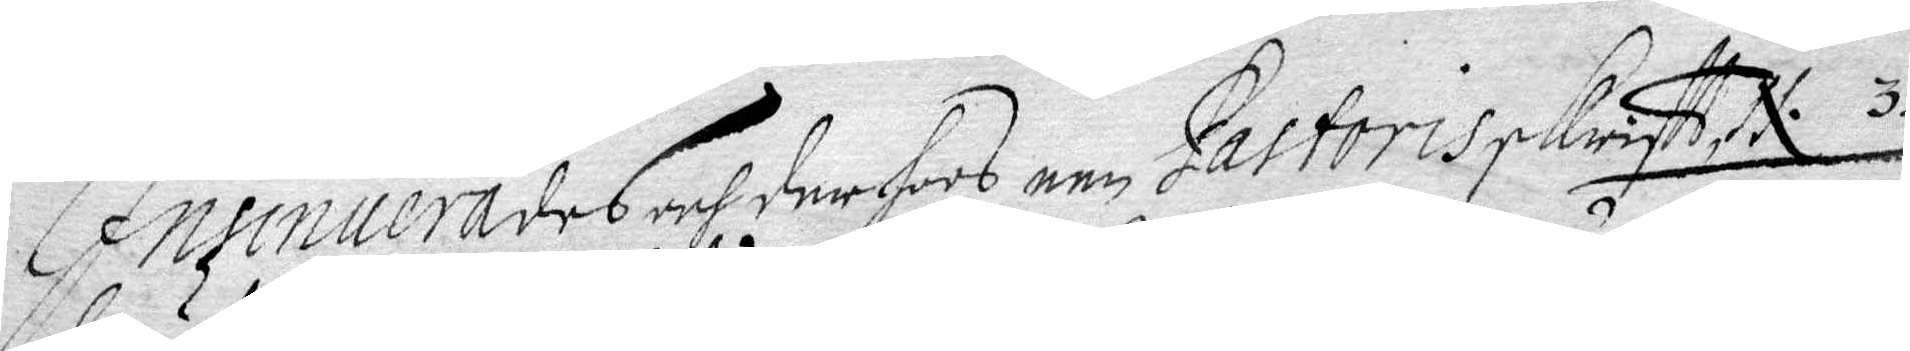Insinuerades och derhoos een Pastoris skriftt N. 3 
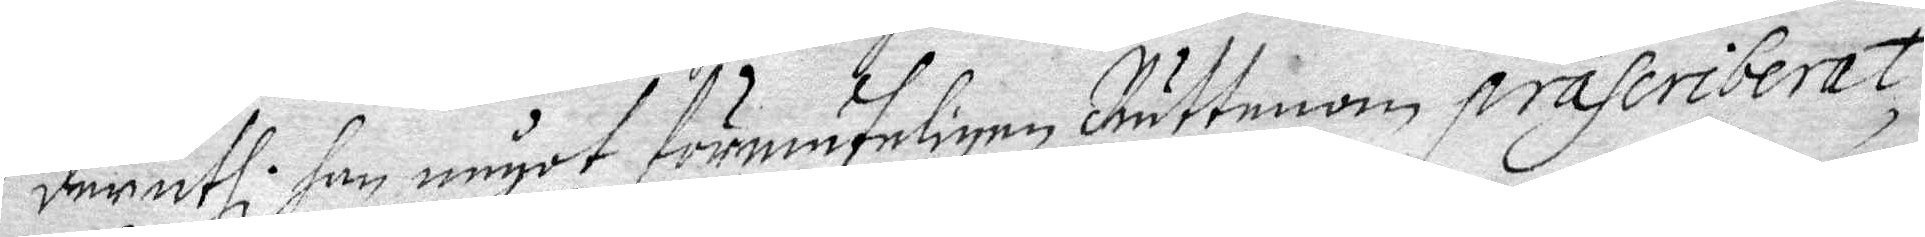deruthi han något förmuteligen Rättenom präseriberat
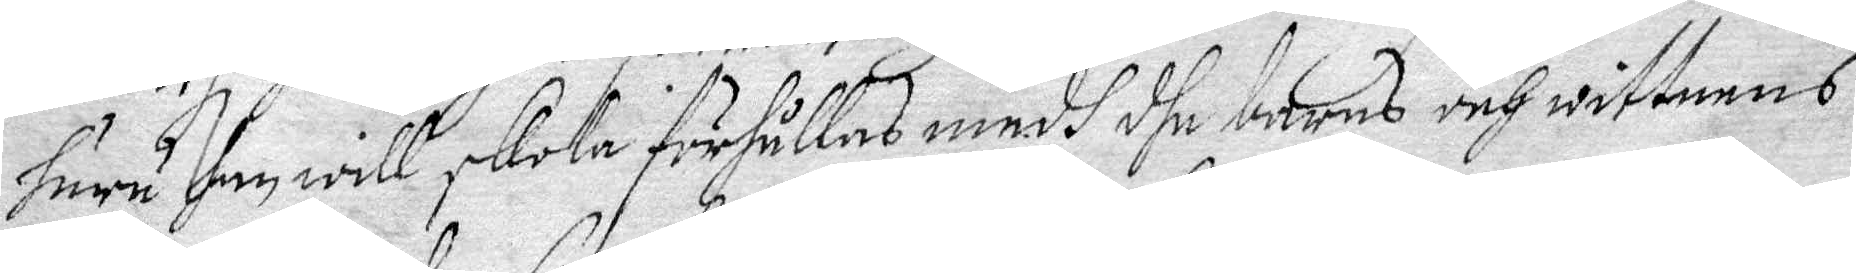huru han will skola förhållas medh dhe barns och wittnens
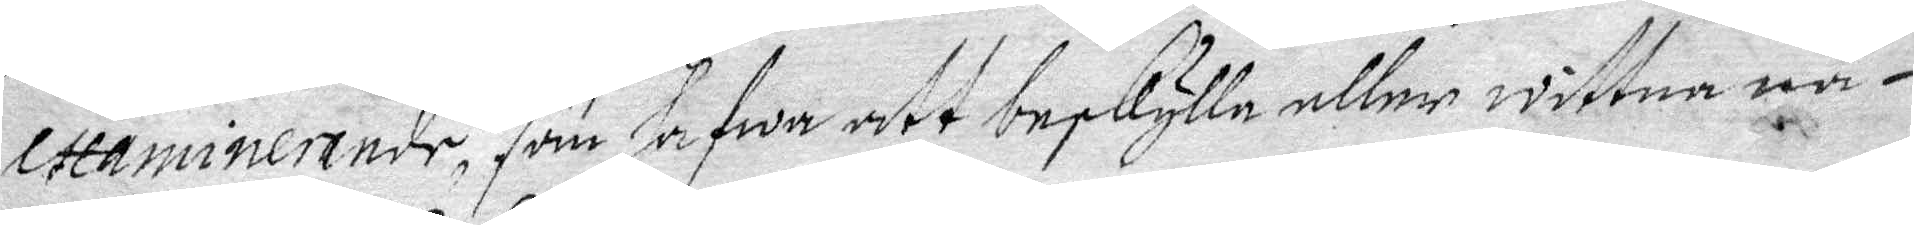examinerande, som hafwa att beskylle eller wittna nå¬
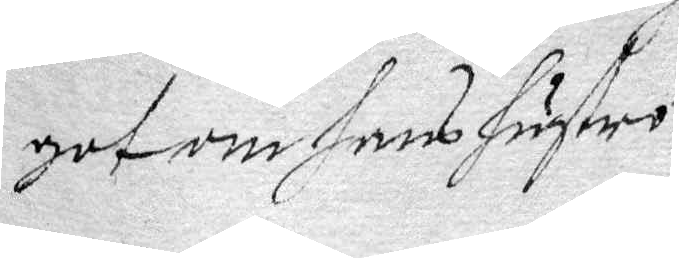got om hans hustru.
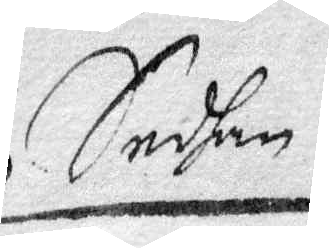Sedhan
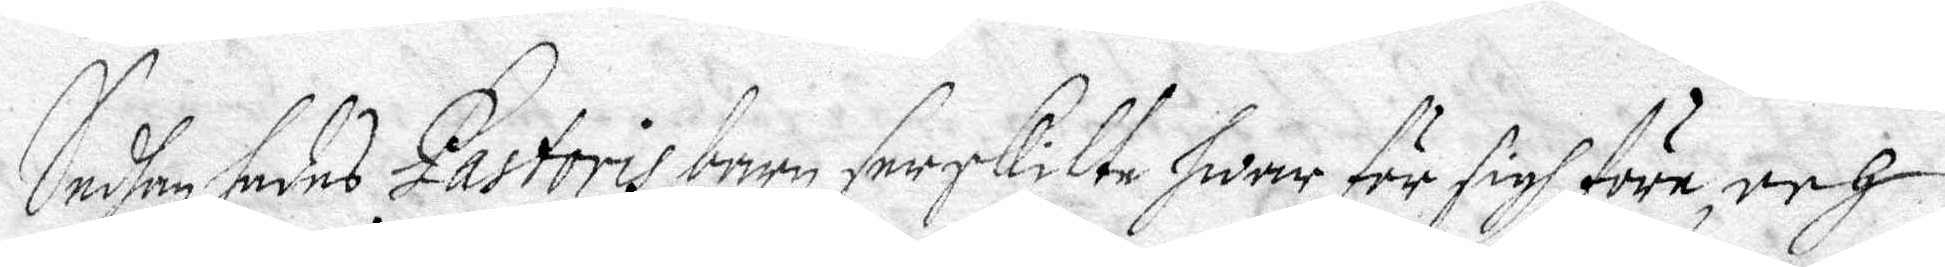Sedhan sades Pastoris barn serskilte hwar för sigh före, och
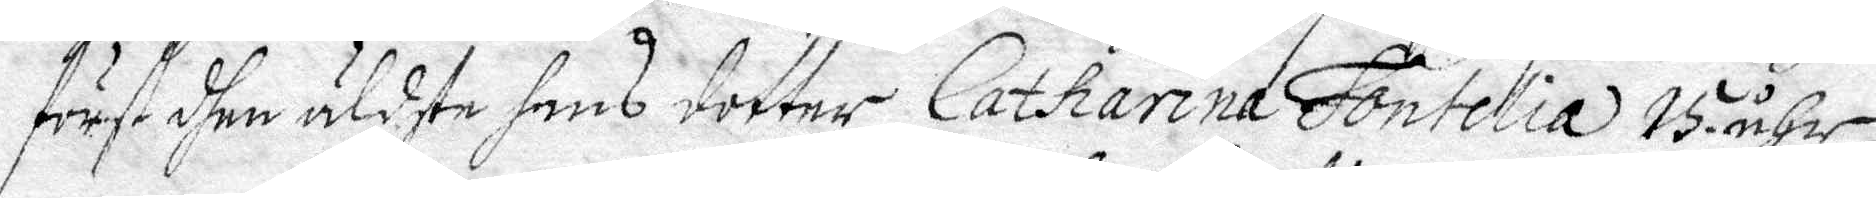först dhen äldste hans dotter Catharina Fontelia 15 åhr,
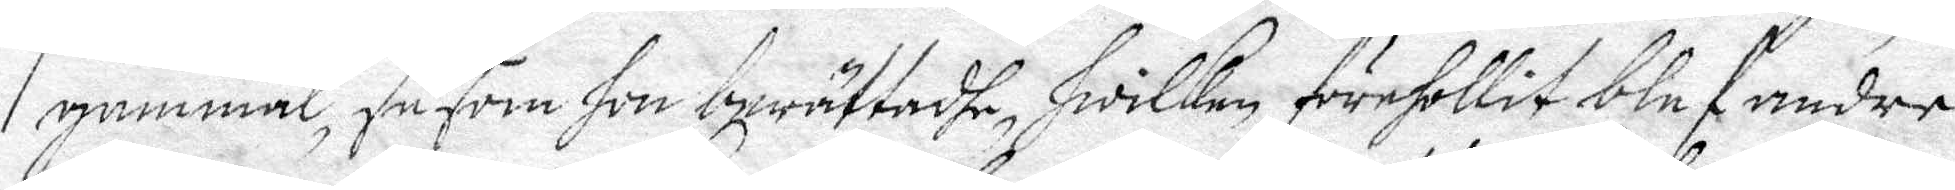gammal, såsom hon berättadhe, hwilken förehollit blef andre
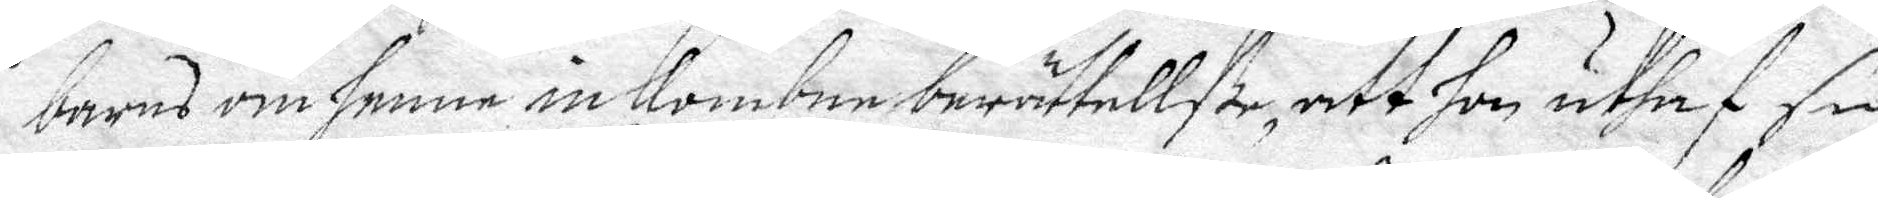barns om henne inkombne berättellße, att hon uthaf sin
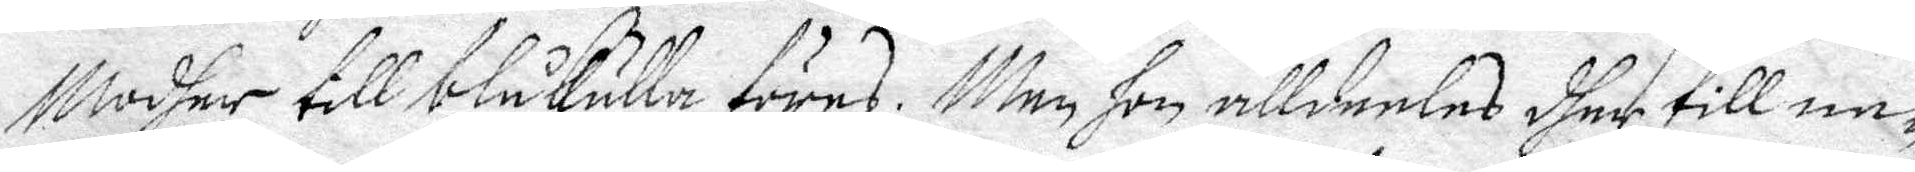Modher till blåkulla föres. Men hon alldeeles dher till ne¬
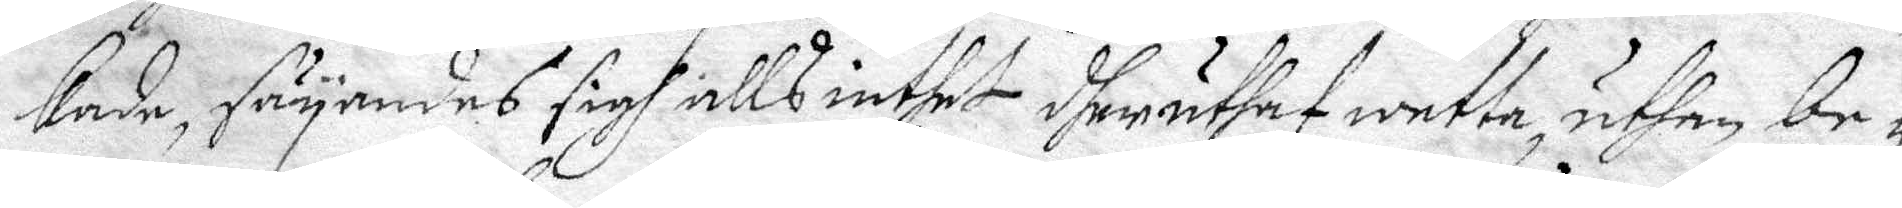kade, säyandes sigh alls intet dheruthaf wetta, uthan be¬
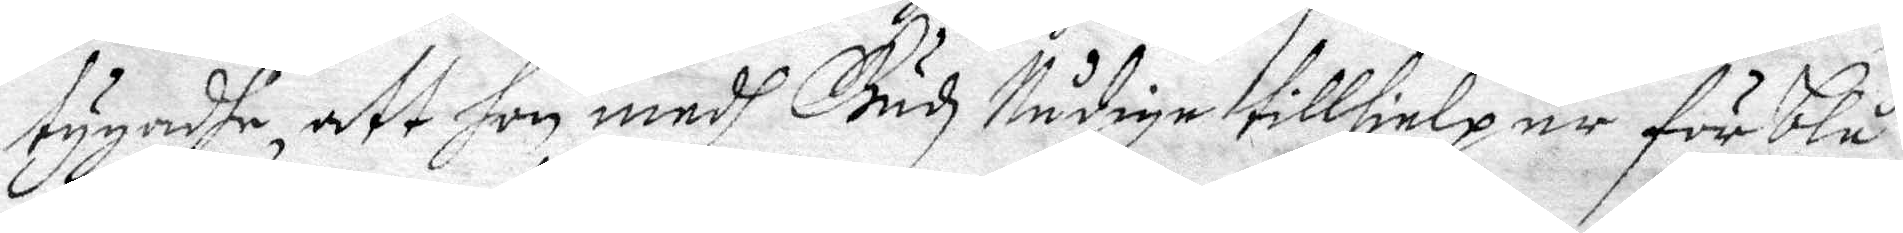tugadhe, att hon medh Gudz Nådige tillhielp är för blå¬
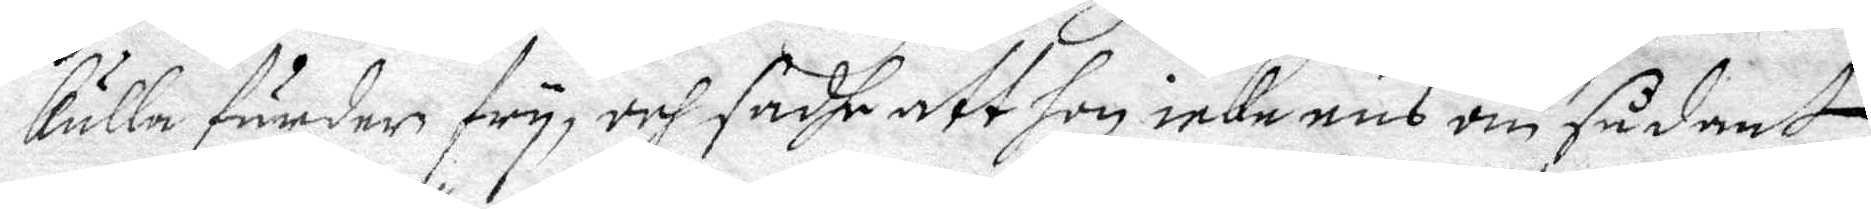kulla färder fry, och sadhe att hon icke ens om sådant 
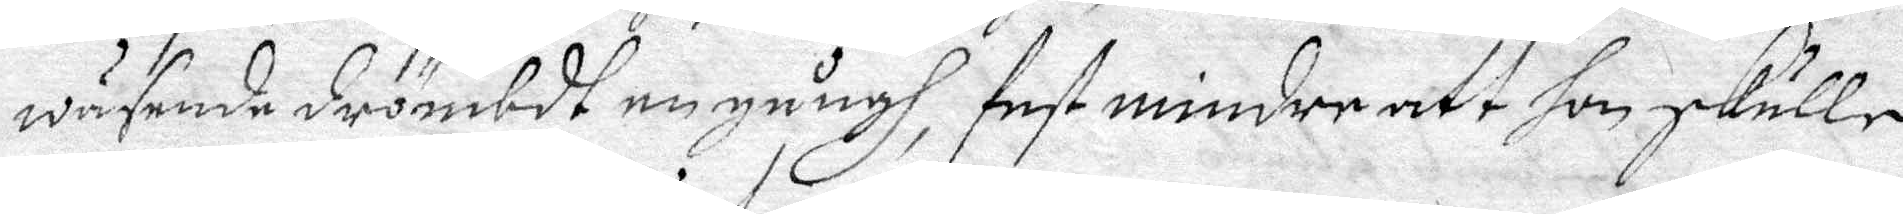väsende drömbdt en gångh, fast mindre att hon skulle
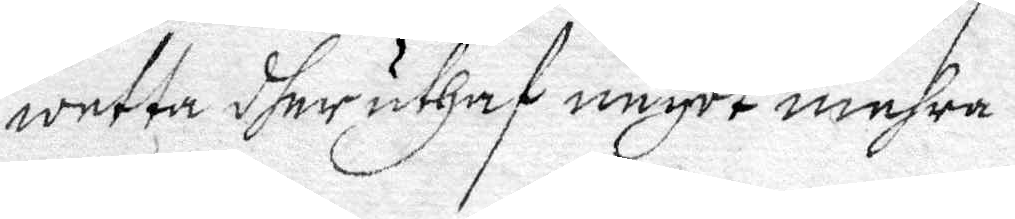wetta dher uthaf någet mehra.
